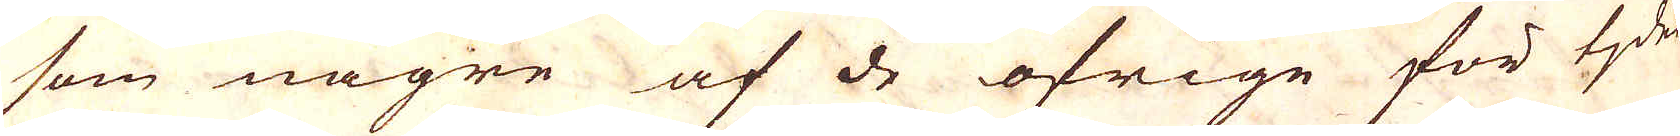som någre af de öfrige för tjden
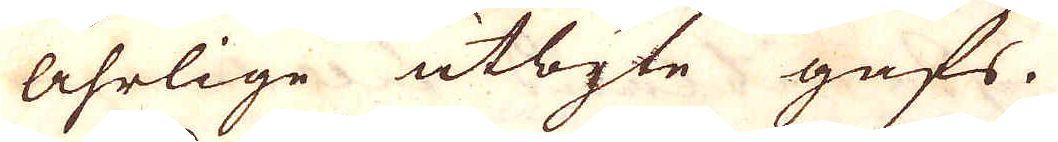åhrlige utbyte gafs.
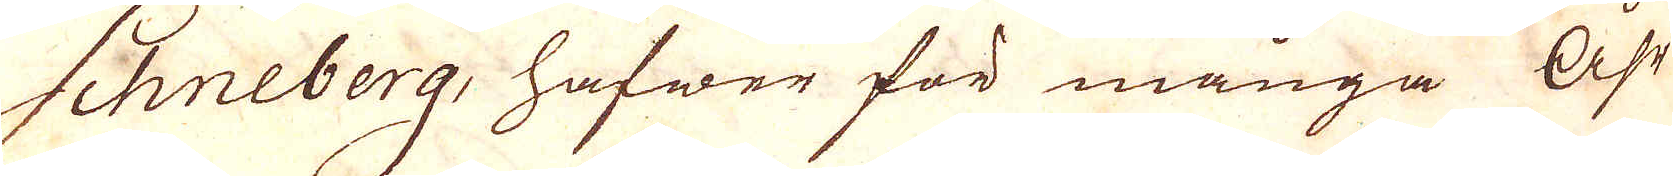Schneberg, hafwer för många Åhr
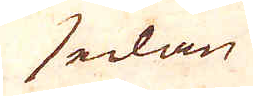sedan
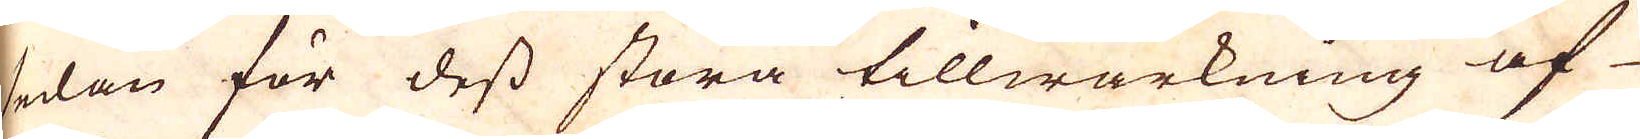sedan för dess stora tillwärkning af
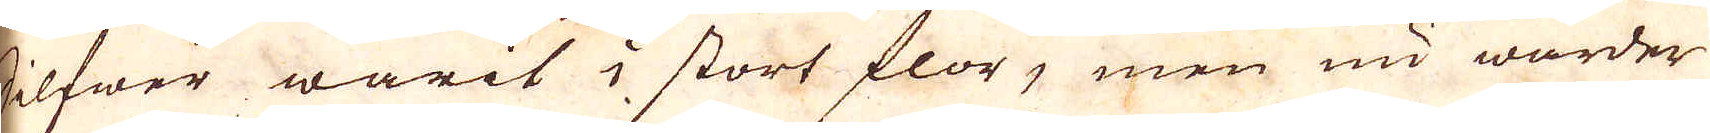Silfwer warit i stort flor, men nu warder
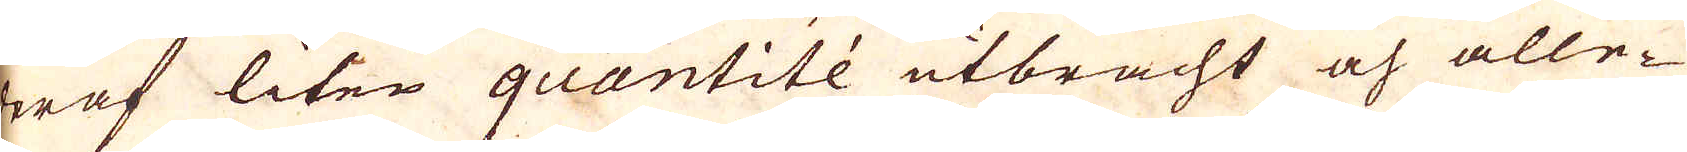deraf liten quantitée utbracht och alle-
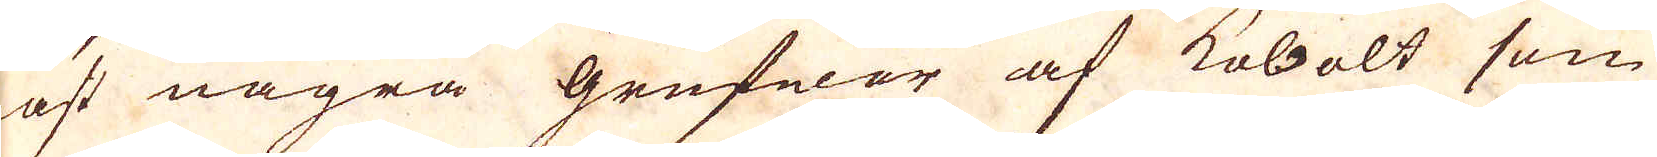nast några grufwor af kobolt som
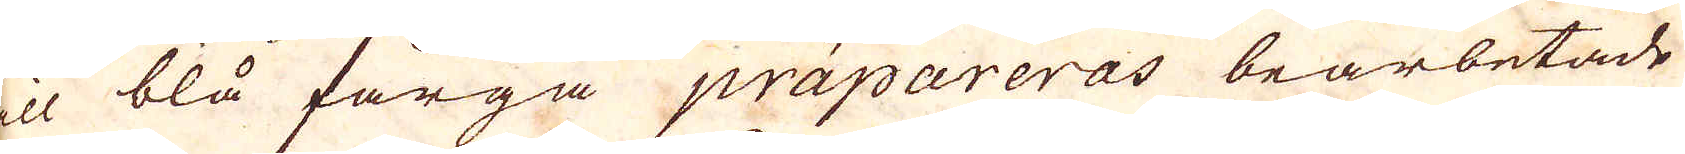till blå färga präpareras bearbetade
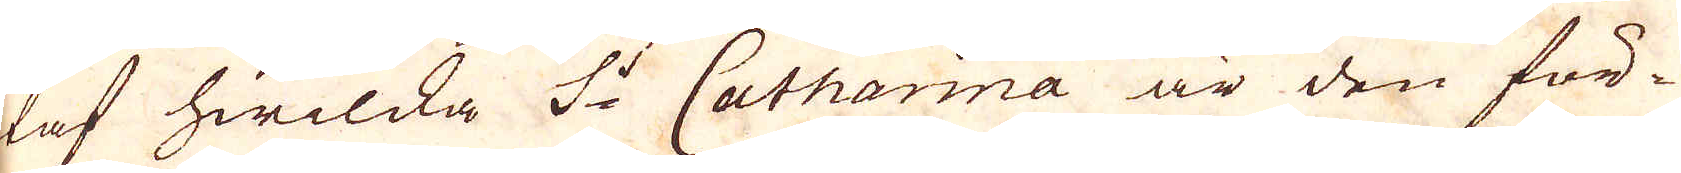utaf hwilcka S:t Catharina är den för-
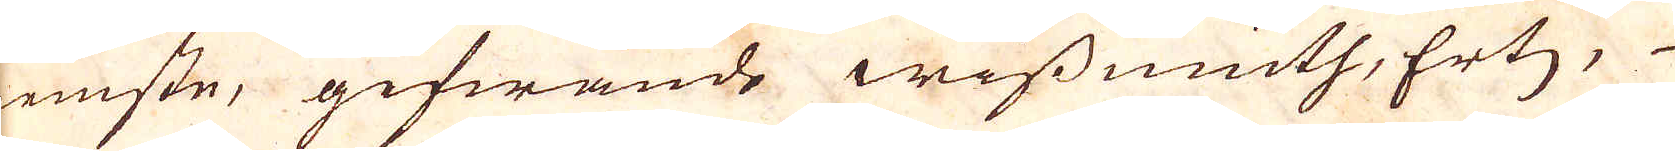nemste, gifwande wissmuth, Ertz,
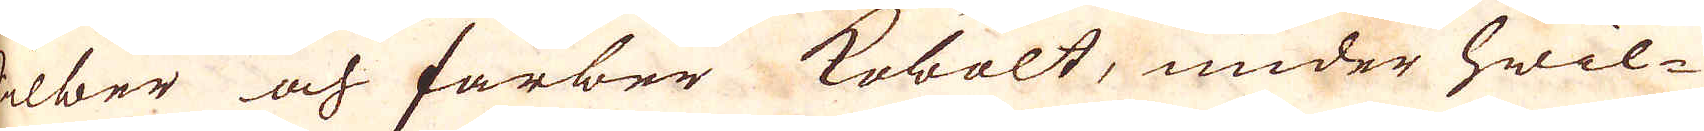Silber och farber Kobolt, under hwil-
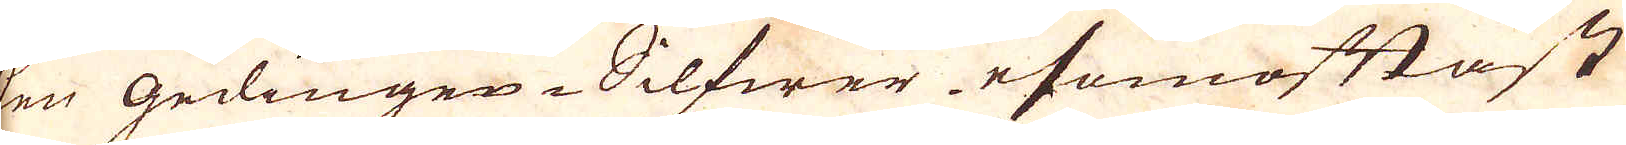ken Gedingen-Silfwer esomoftast
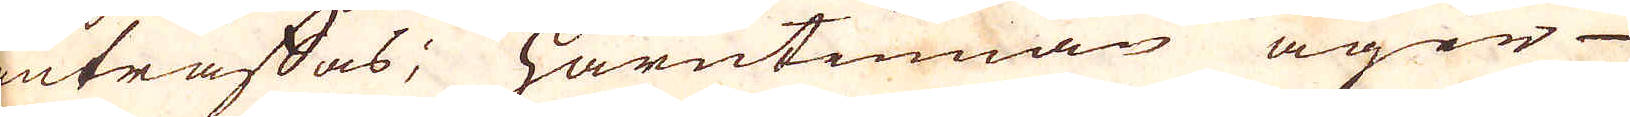inträffas; Härutinnan äger
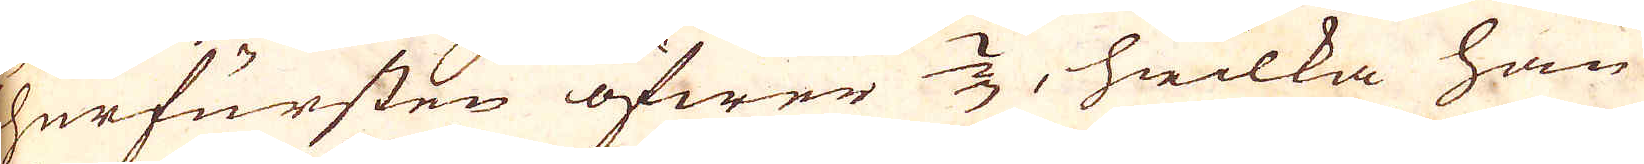Churfursten öfwer 2/3, hwilka han
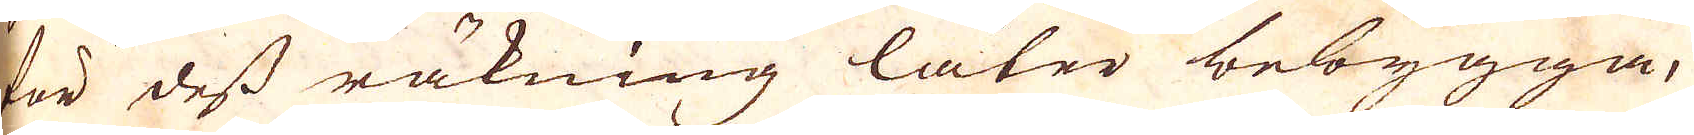för dess räkning låter bebygga,
